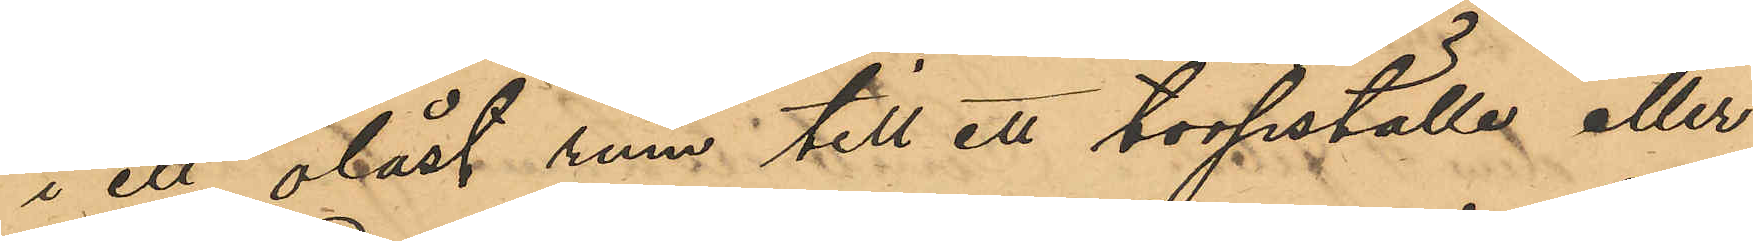i ett olåst rum till ett torpställe eller
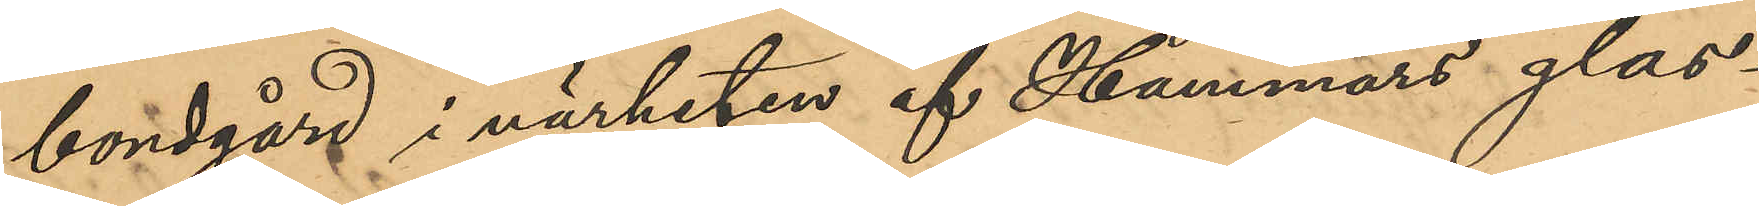bondgård i närheten af Hammars glas¬
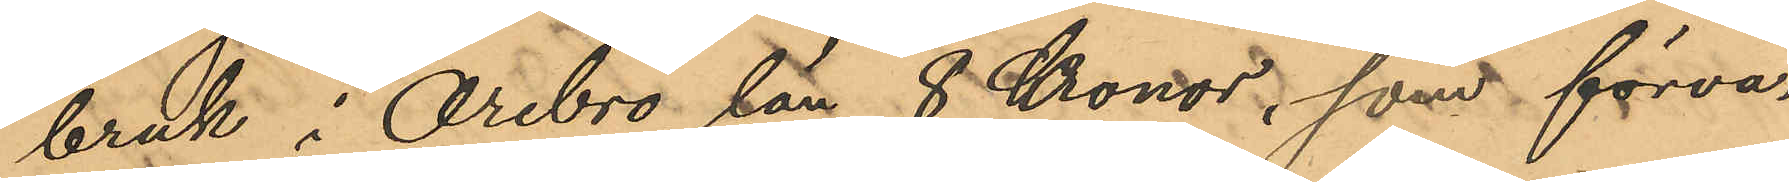bruk i Örebro län, 8 Kronor, som förva¬
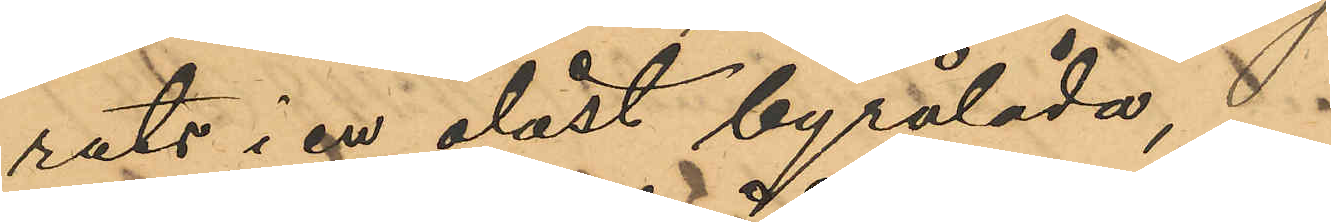rats i en olåst byrålåda,
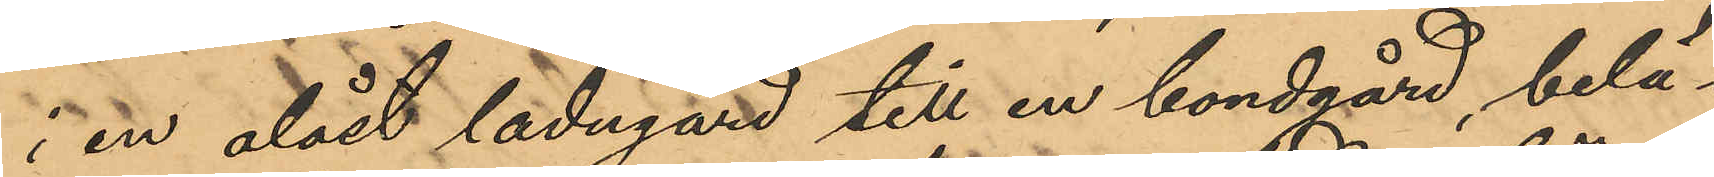i en olåst ladugård till en bondgård, belä¬
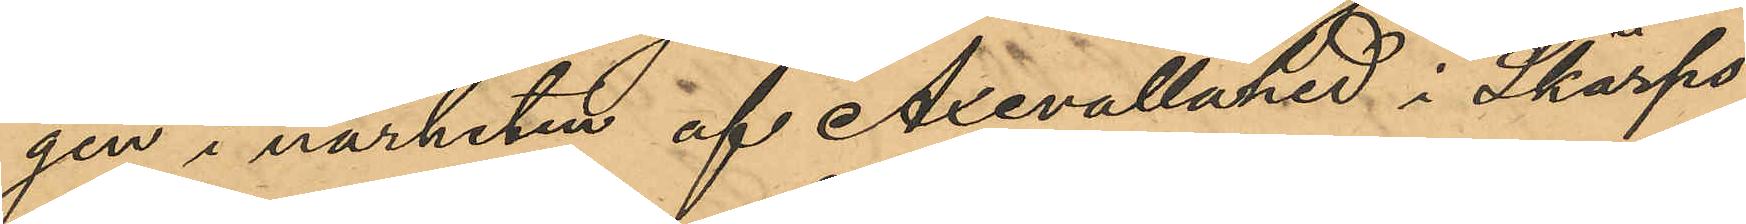gen i närheten af Axevallahed i Skärfs
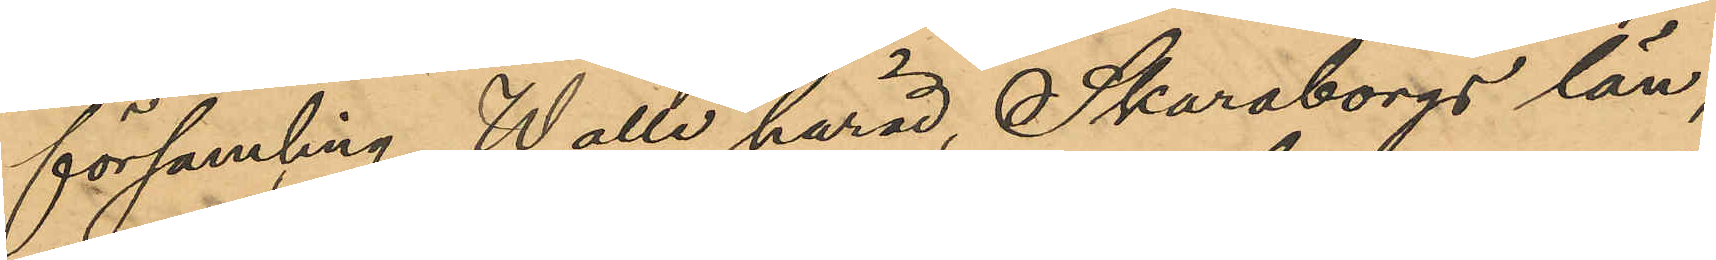församling, Walle härad, Skaraborgs län,
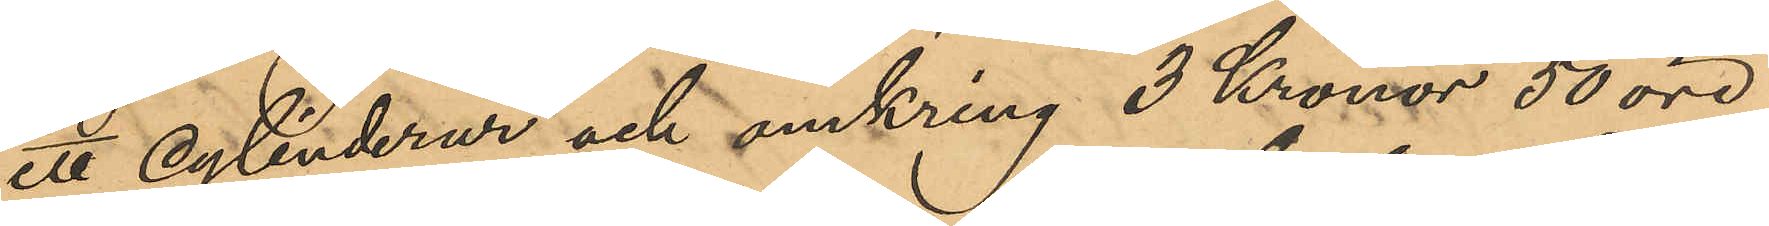ett cylinderur och omkring 3 Kronor 50 öre,
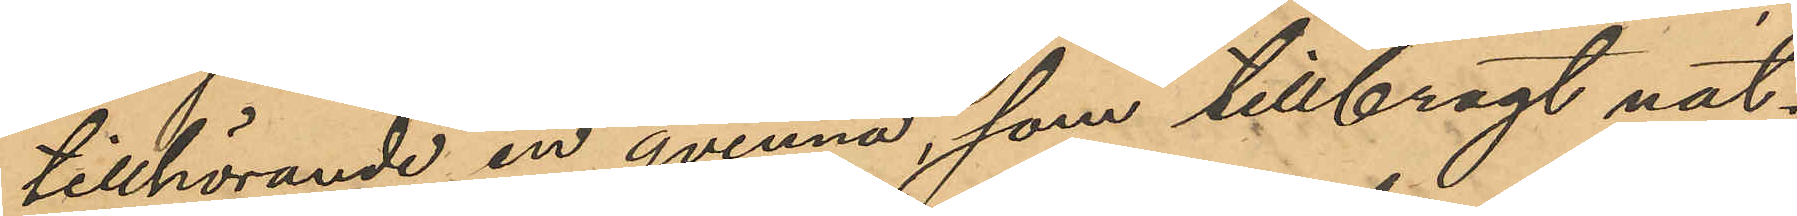tillhörande en qvinna, som tillbragt nat¬
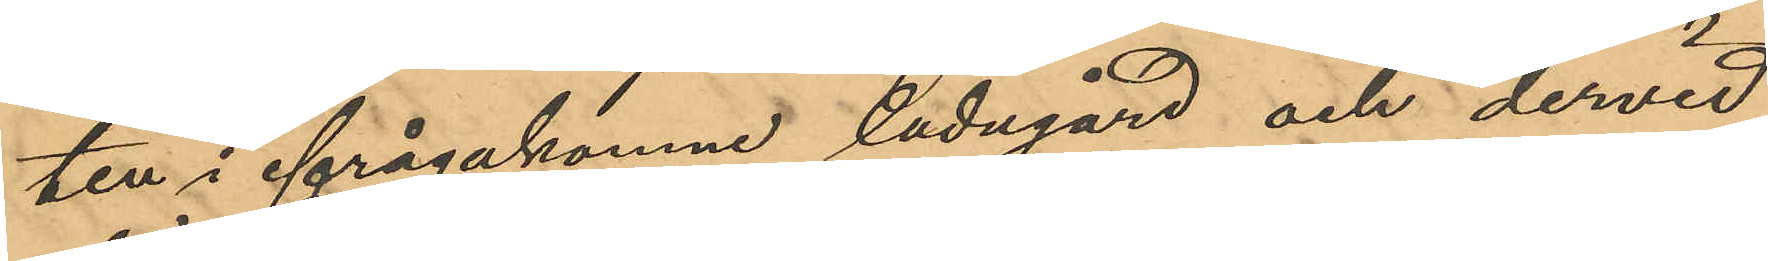ten i ifrågakomne ladugård och dervid
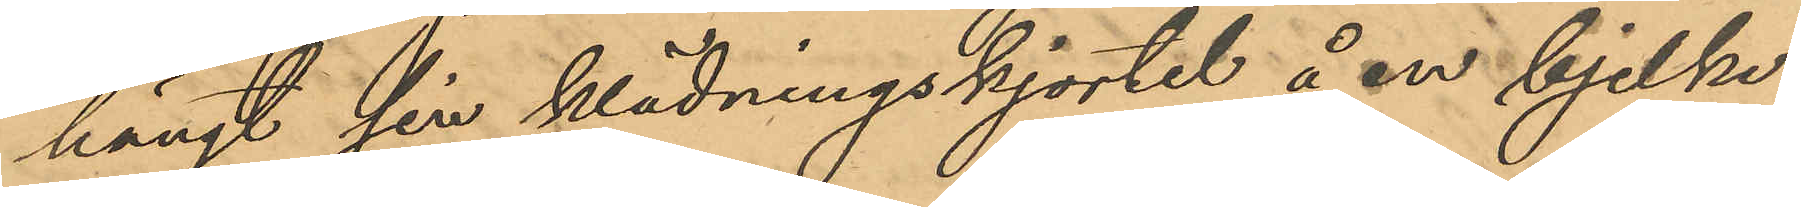hängt sin klädningskjortel å en bjelke
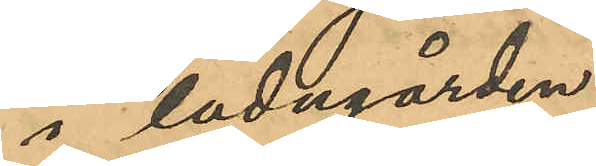i ladugården.
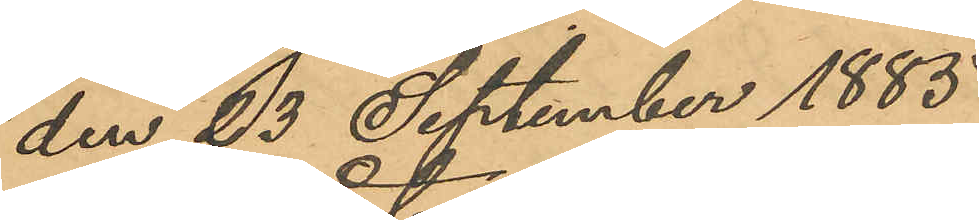den 23 September 1885
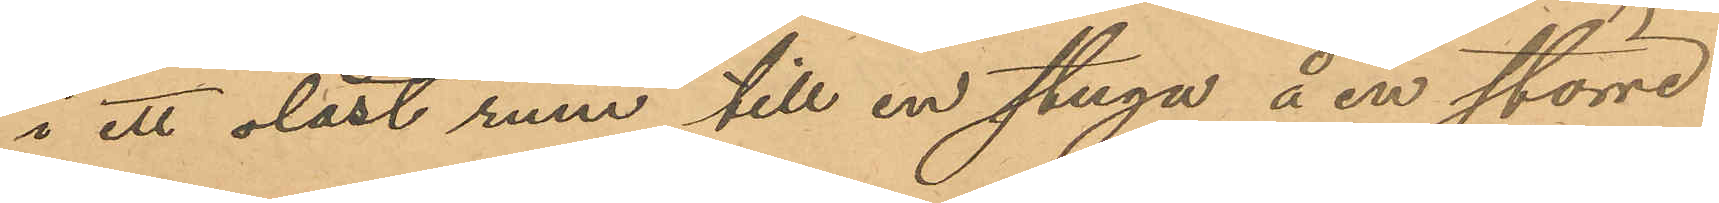i ett olåst rum till en stuga å en större
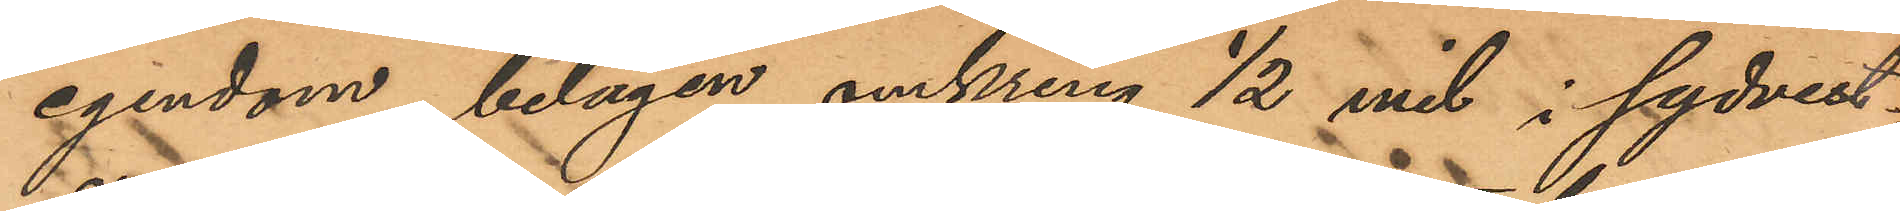egendom, belägen omkring ½ mil i sydvest¬
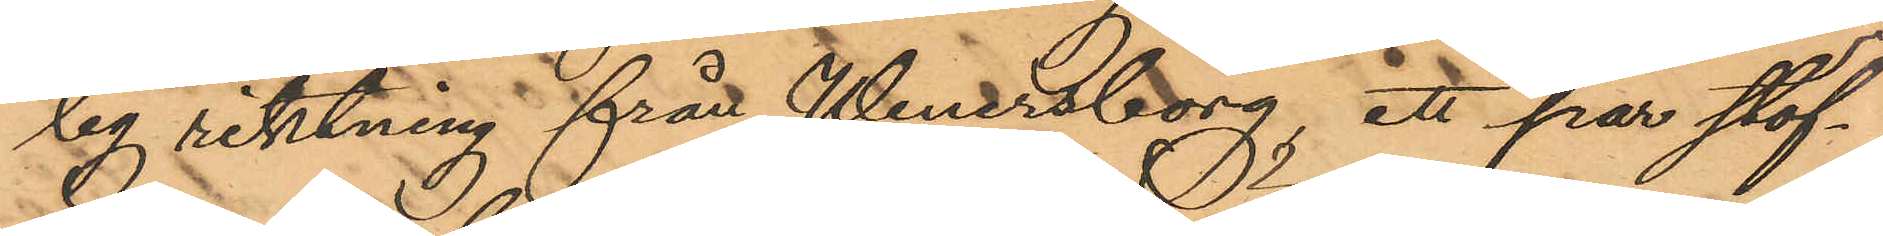lig riktning från Wenersborg, ett par stöf¬
